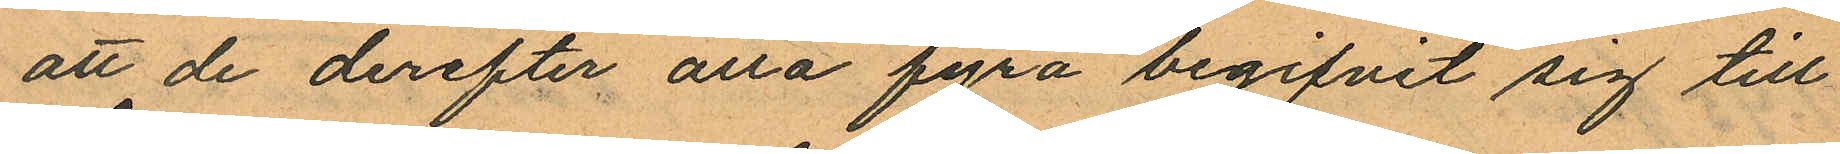att de derefter alla fyra begifvit sig till¬
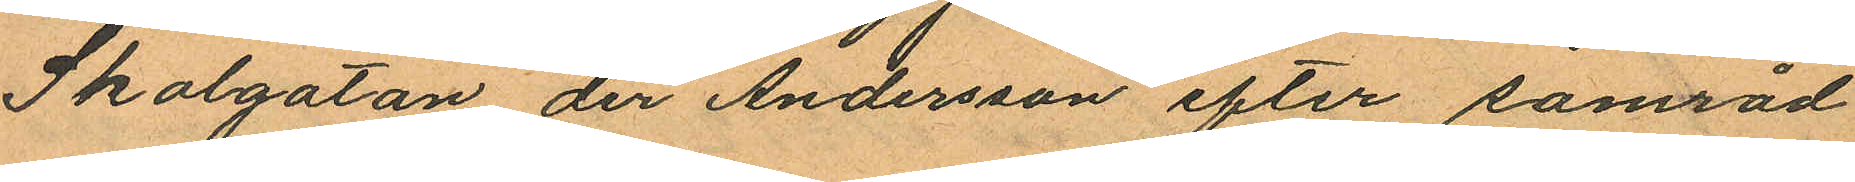Skolgatan der Andersson efter samråd
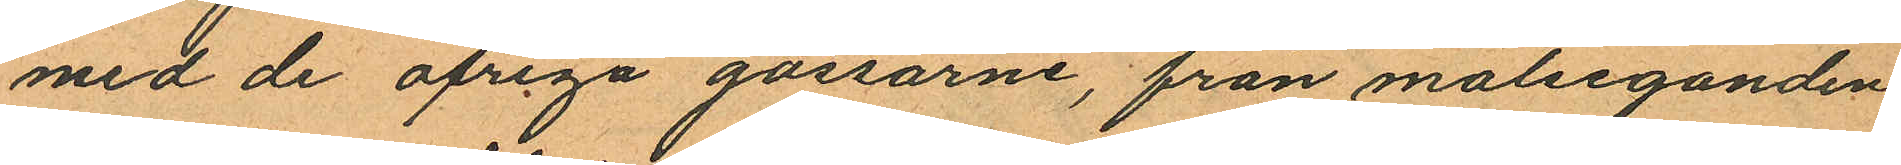med de öfriga gossarne, från målseganden
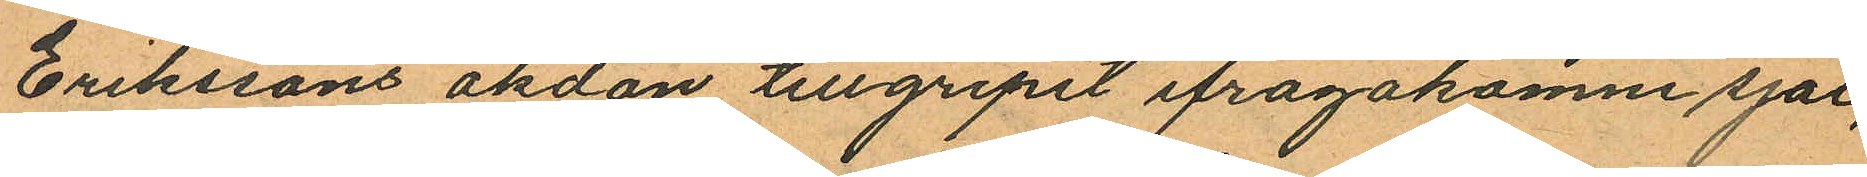Erikssons åkdon tillgripit ifrågakomne sjal,
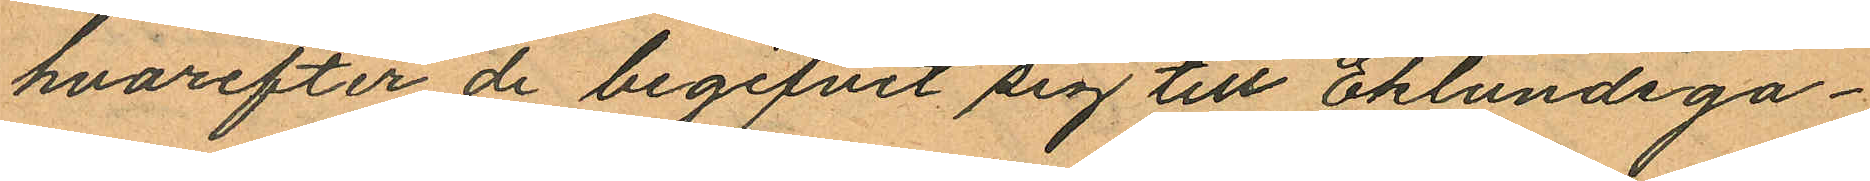hvarefter de begifvit sig till Eklundsga¬
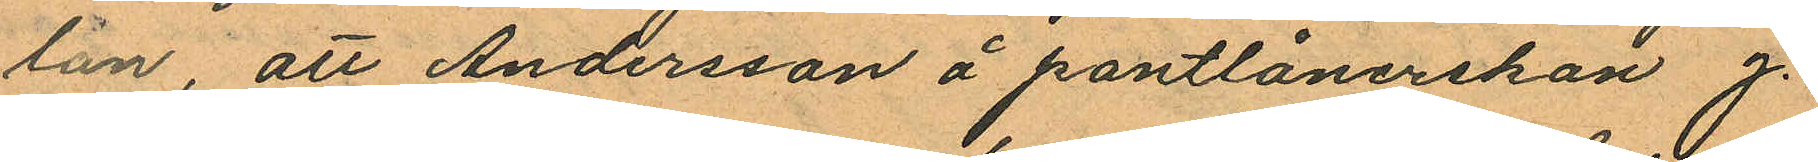lan, att Andersson å pantlånerskan J.
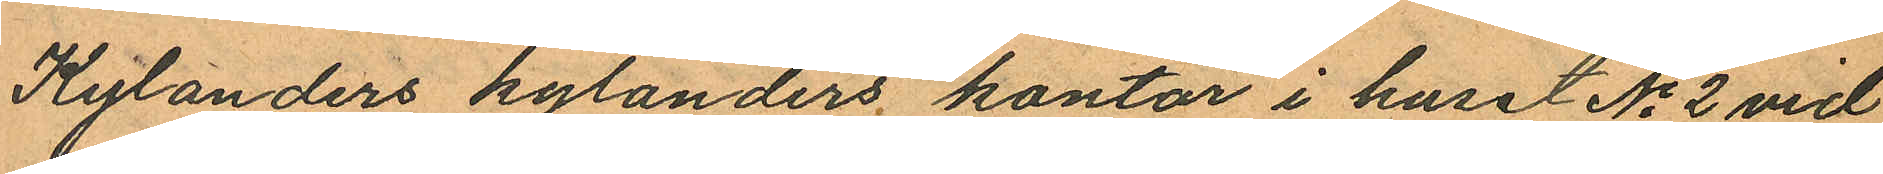Kylanders kylanders kontor i huset No 2 vid
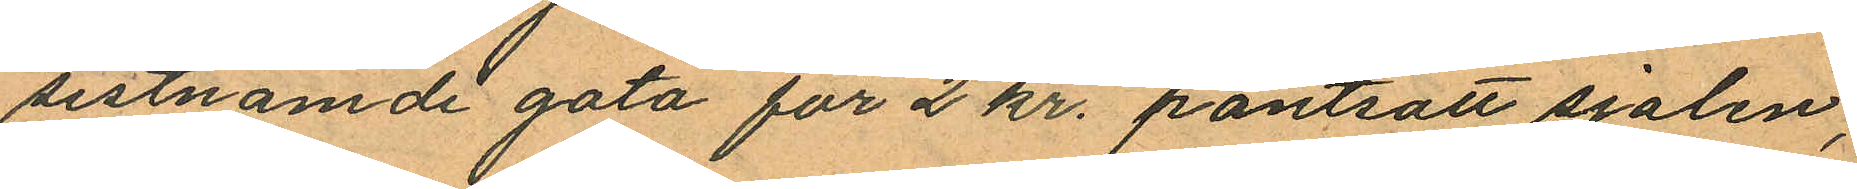sistnämde gata för 2 kr. pantsatt sjalen,
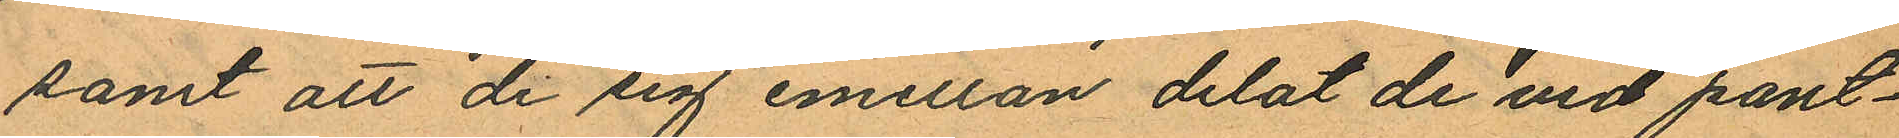samt att de sig emellan delat de vid pant¬
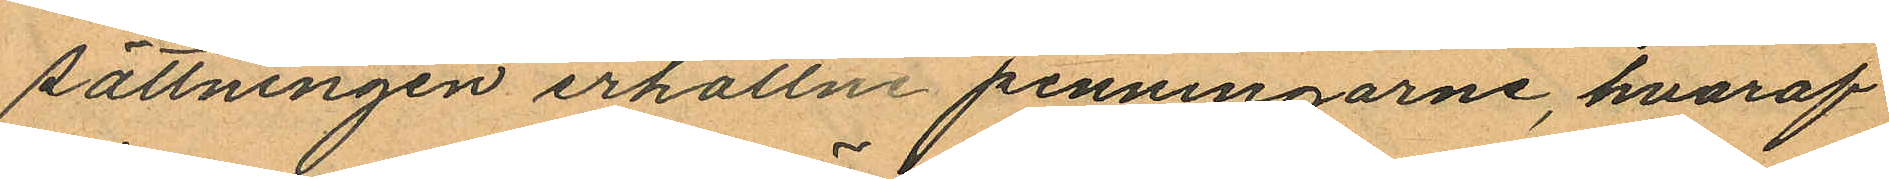sättningen erhållne penningarne, hvaraf
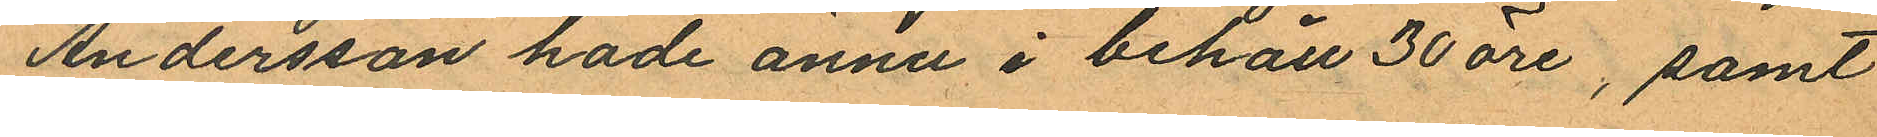Andersson hade ännu i behåll 30 öre, samt
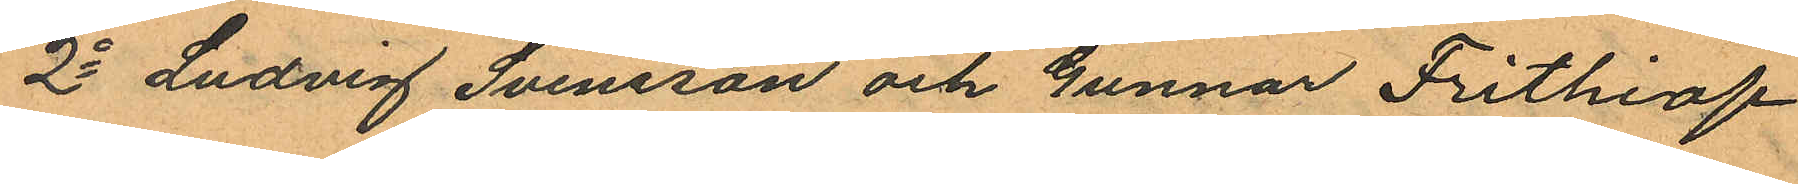2o Ludvig Svensson och Gunnar Frithiof
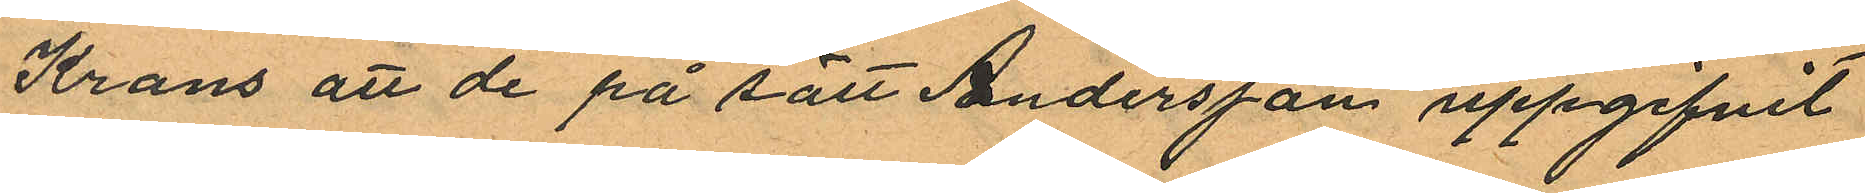Krans att de på sätt Andersson uppgifvit
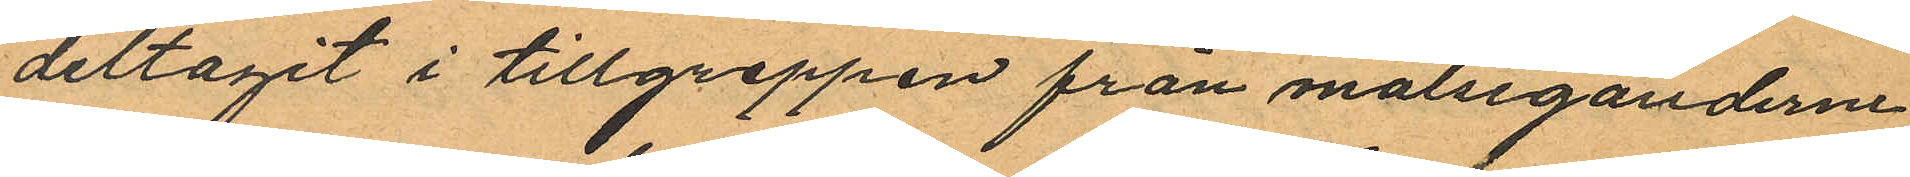deltagit i tillgreppen från målseganderne
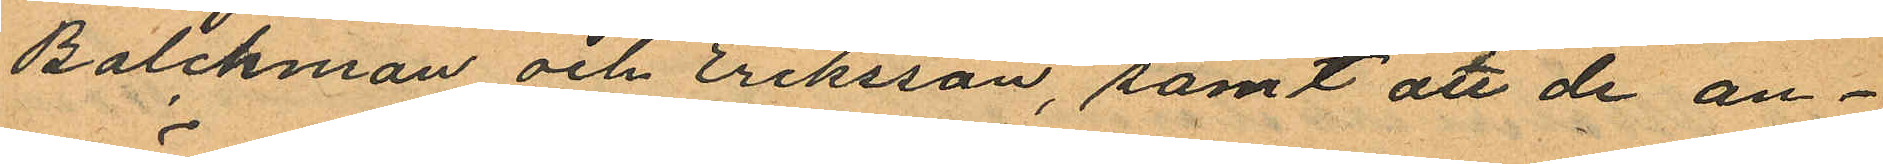Balchman och Eriksson, samt att de an¬
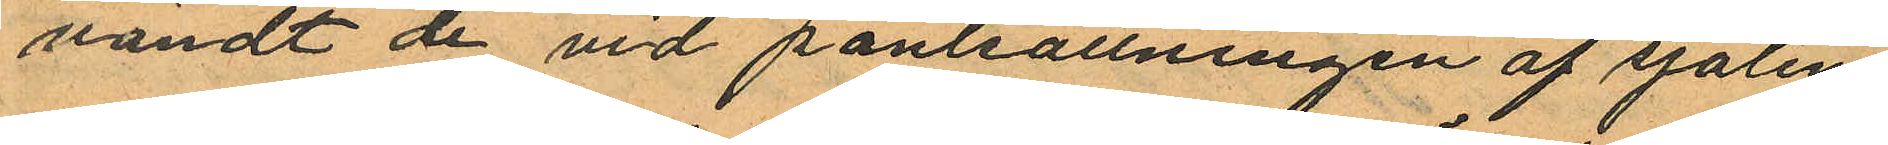vändt de vid pantsättningen af sjalen
